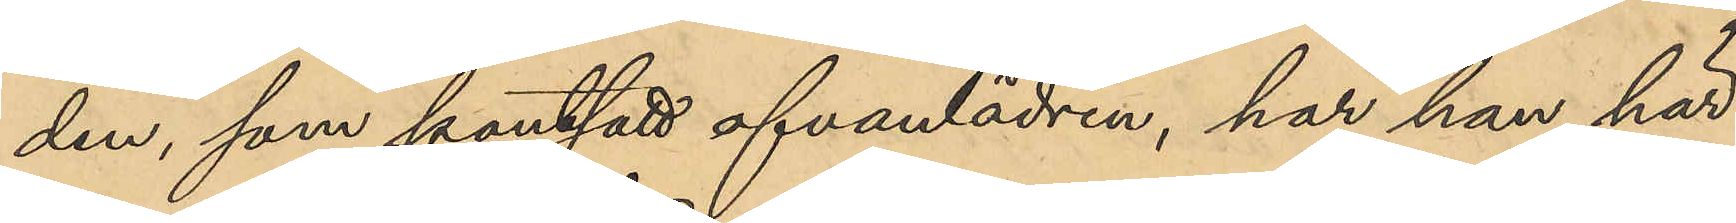den, som pantsatt ofvanlädren, har han här¬
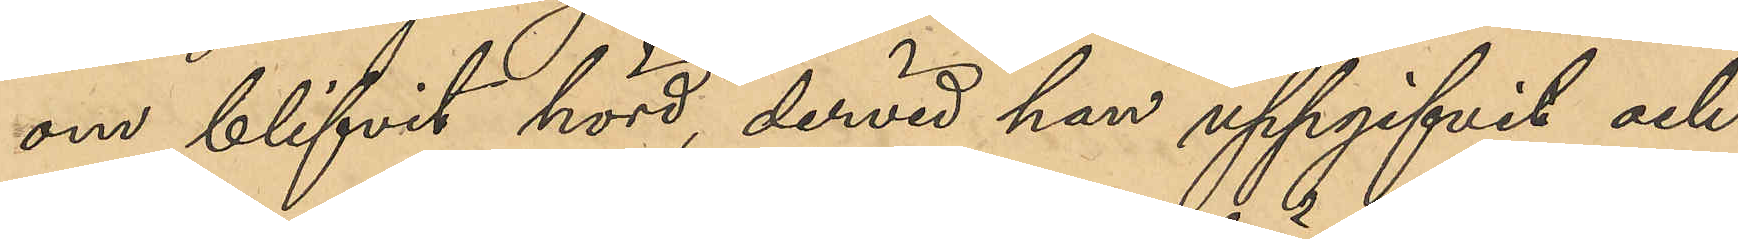om blifvit hörd, dervid han uppgifvit och
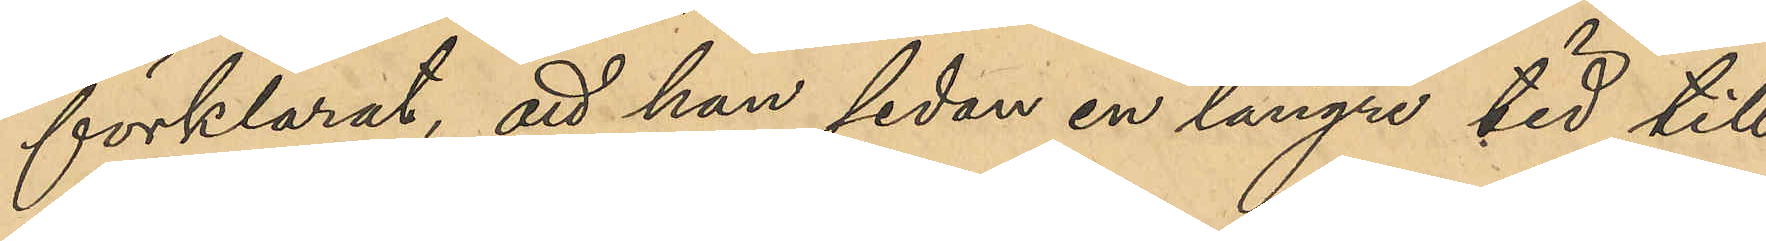förklarat, att han sedan en längre tid till¬
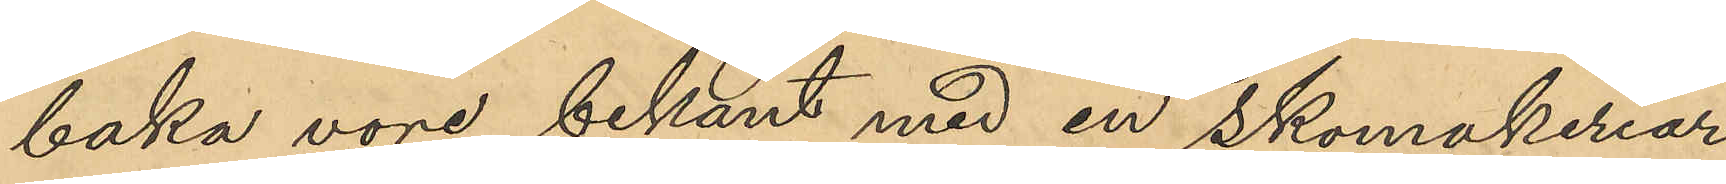baka vore bekant med en skomakeriar¬
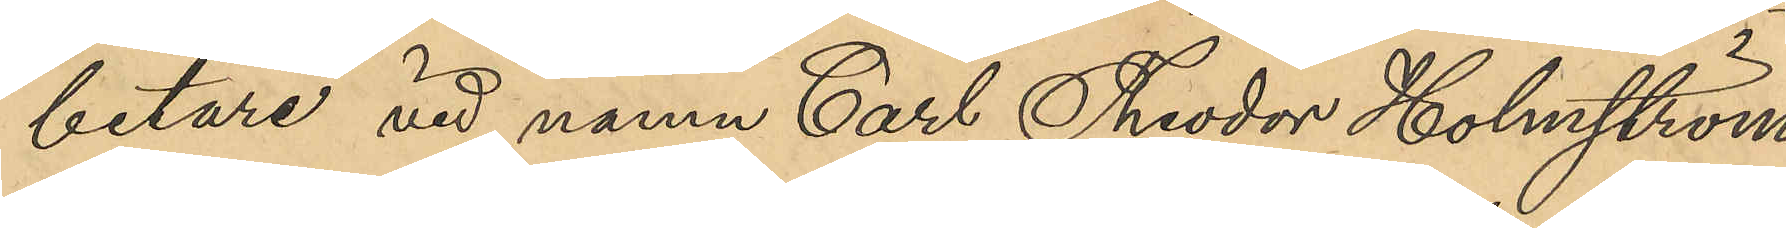betare vid namn Carl Theodor Holmström;
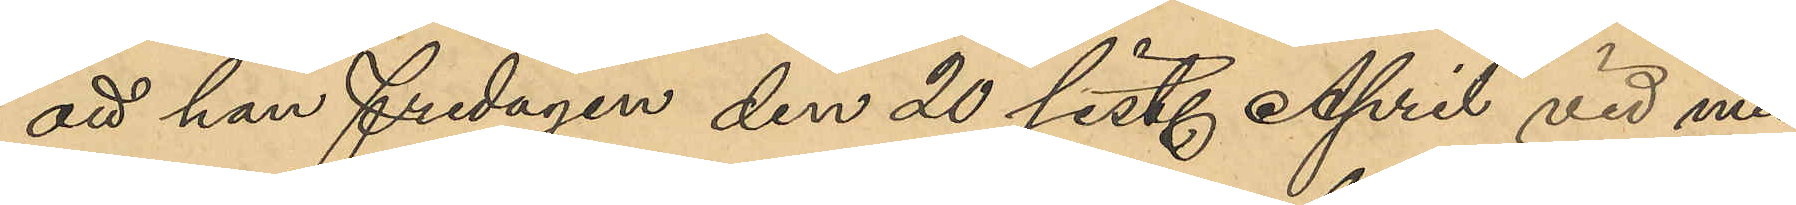att han Fredagen den 20 sist. April vid mid¬
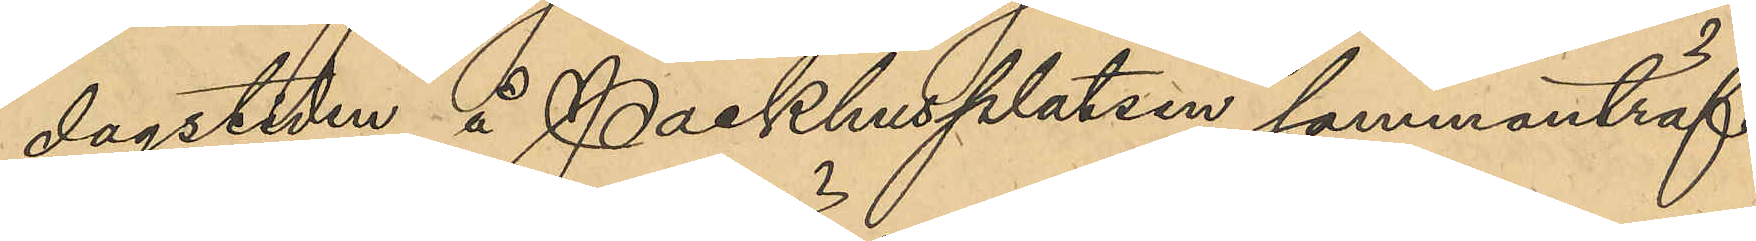dagstiden å Packhusplatsen sammanträf¬
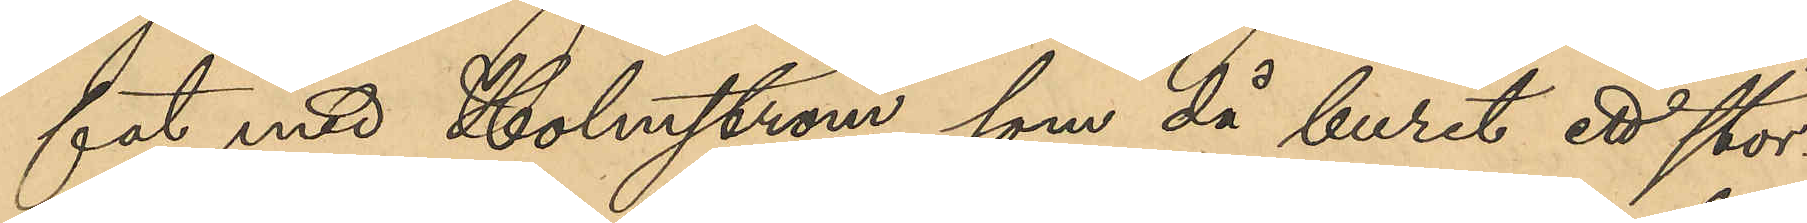fat med Holmström, som då burit ett stör¬
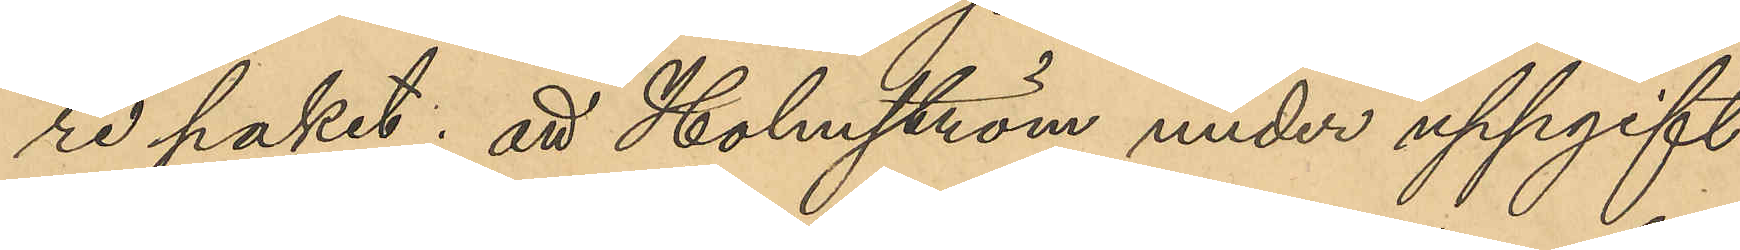re paket; att Holmström under uppgift
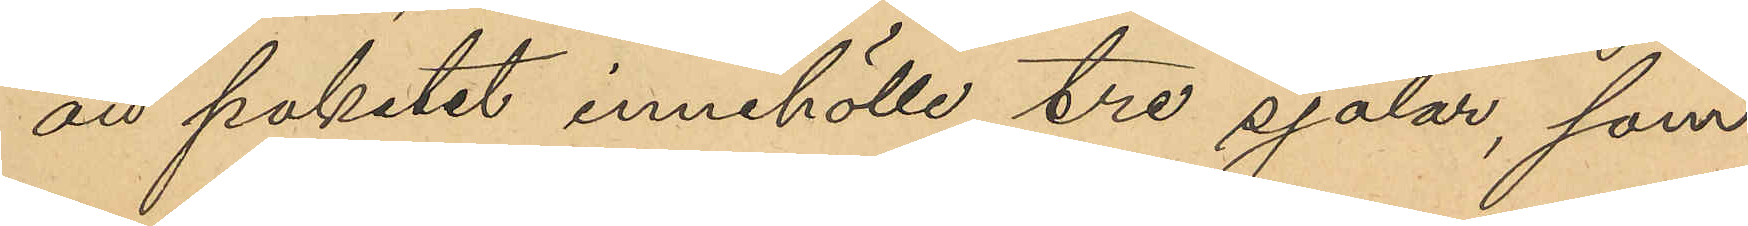att paketet innehölle tre sjalar, som
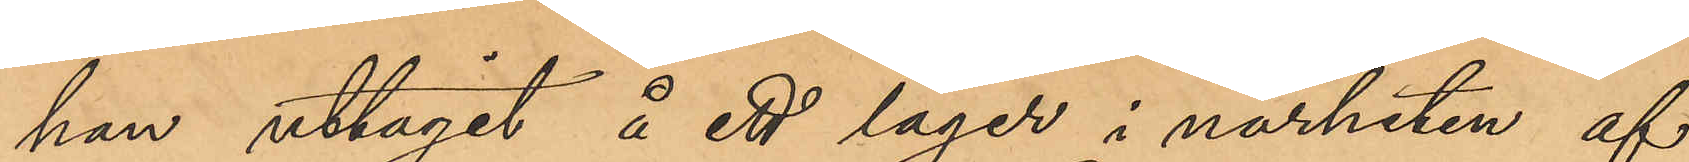han uttagit å ett lager i närheten af
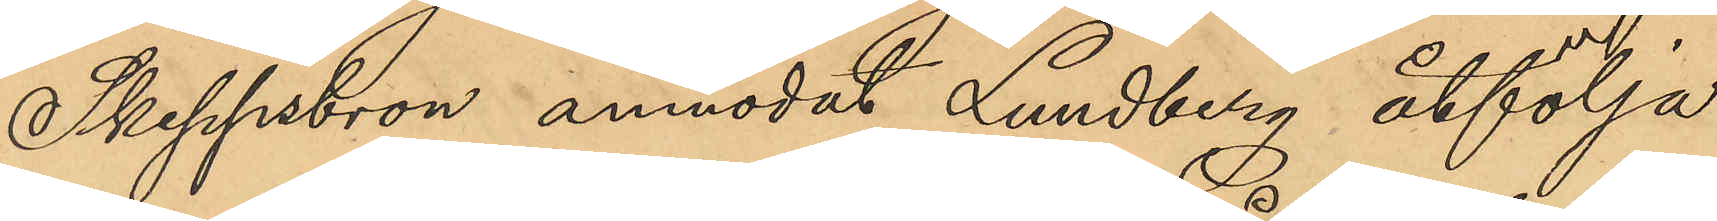Skeppsbron anmodat Lundberg åtfölja
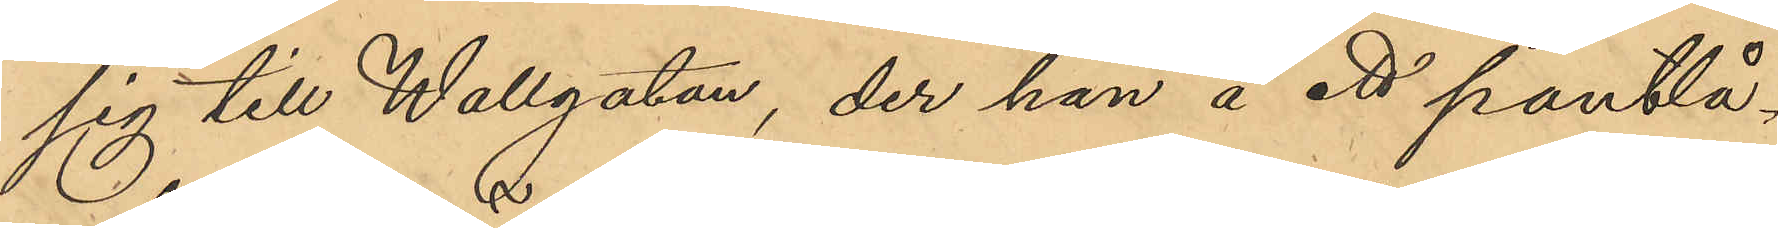sig till Wallgatan, der han å ett pantlå¬
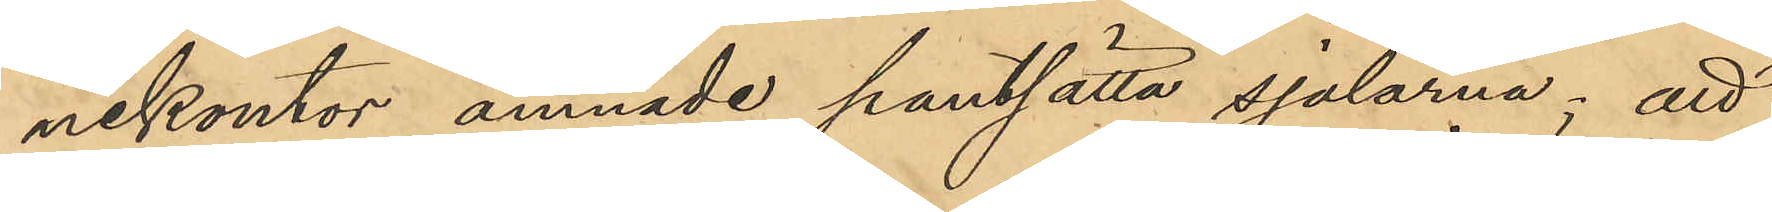nekontor ämnade pantsätta sjalarna; att
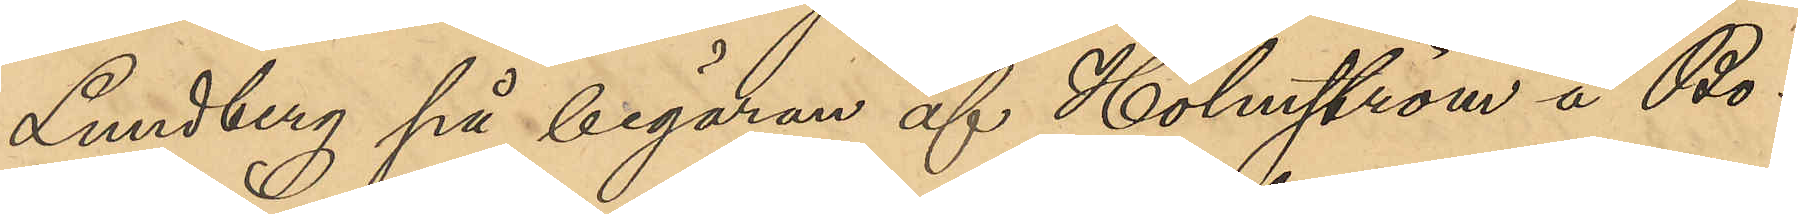Lundberg på begäran af Holmström å Bo¬
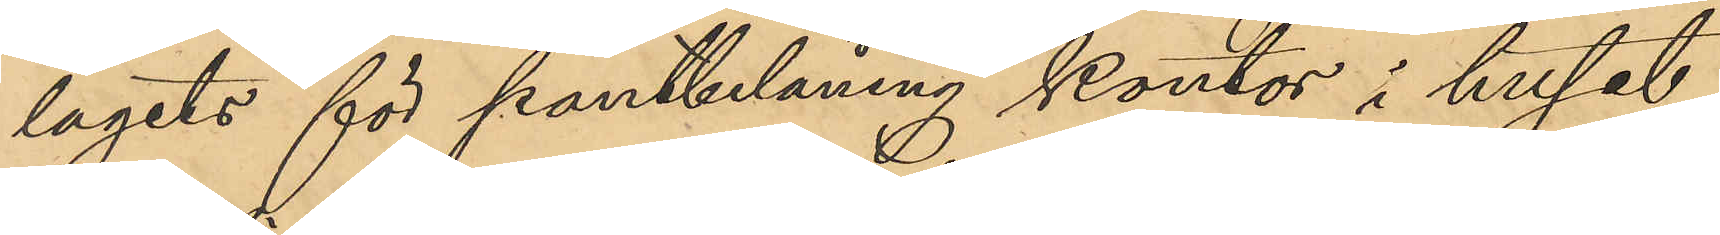lagets för pantbelåning kontor i huset
